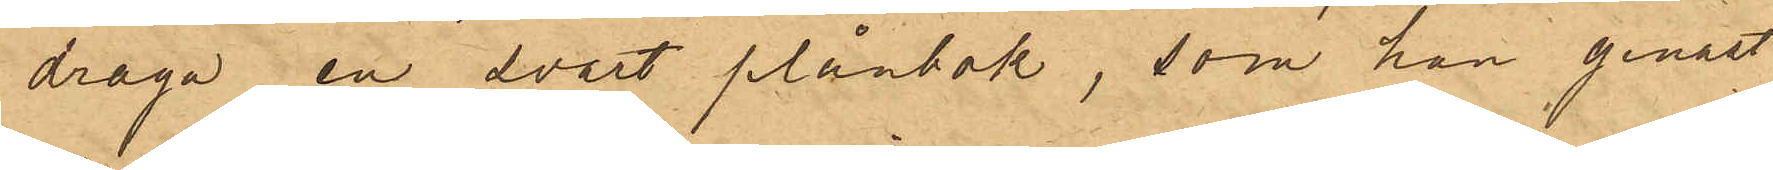draga en svart plånbok, som han genast
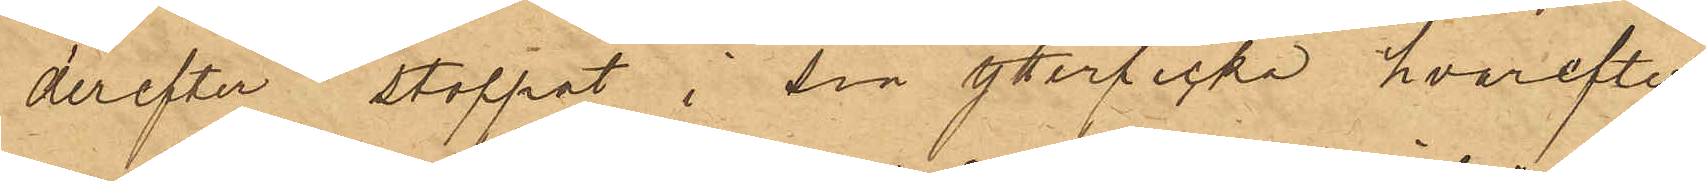derefter stoppat i sin ytterficka, hvarefter
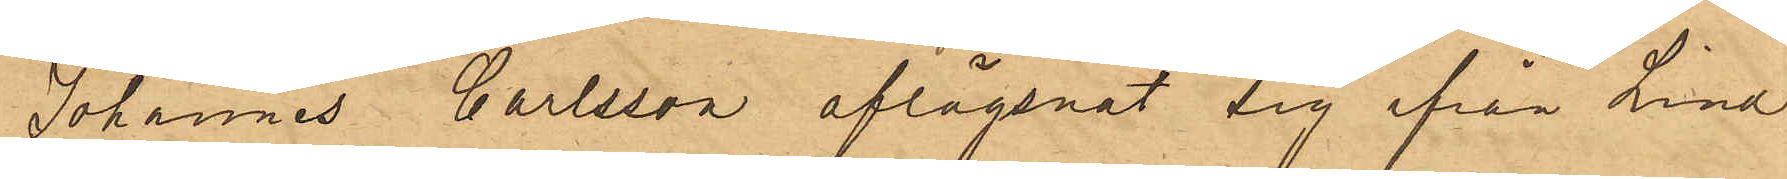Johannes Carlsson aflägsnat sig ifrån Lind
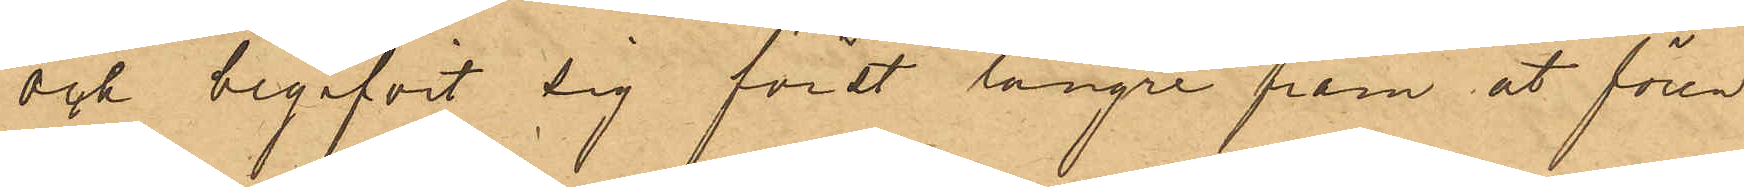och begifvit sig först längre fram åt fören
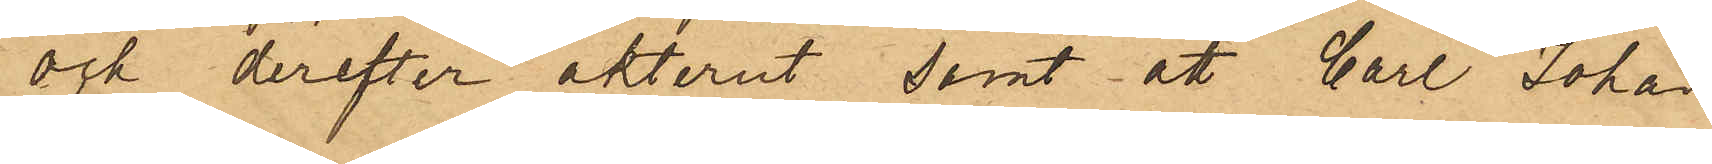och derefter akterut, samt att Carl Johan
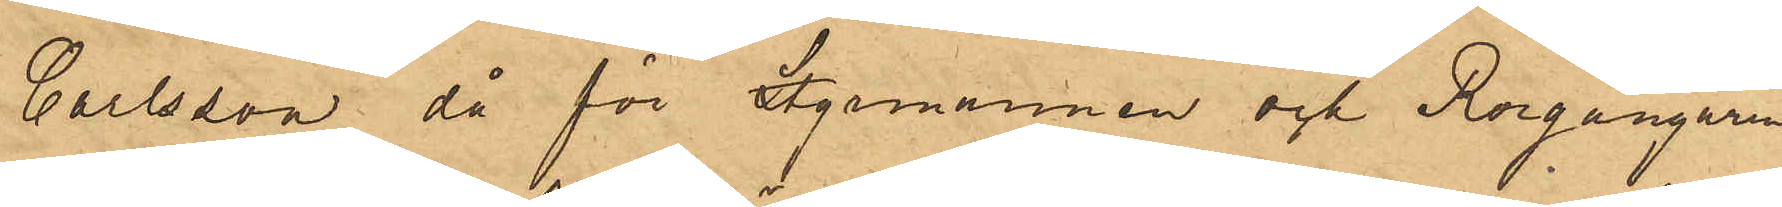Carlsson då för Styrmannen och Rorgängaren
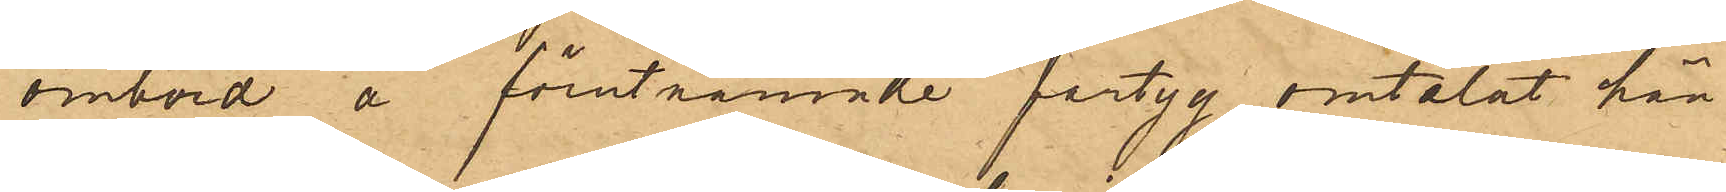ombord å förutnämnde fartyg omtalat hän¬
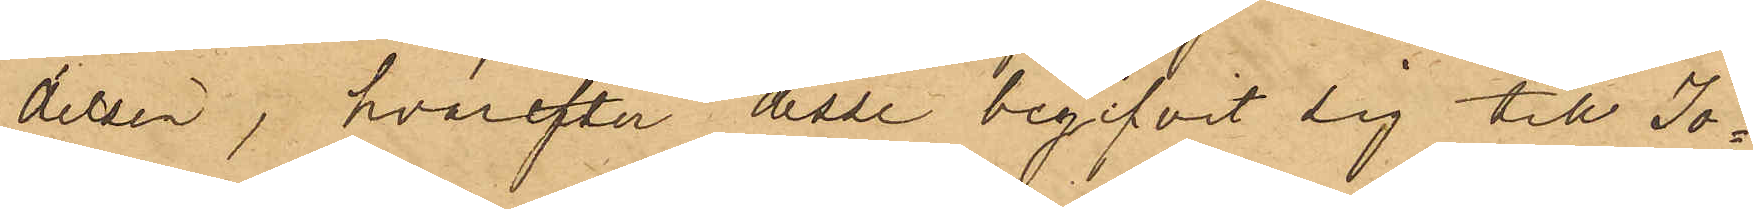delsen, hvarefter desse begifvit sig till Jo¬
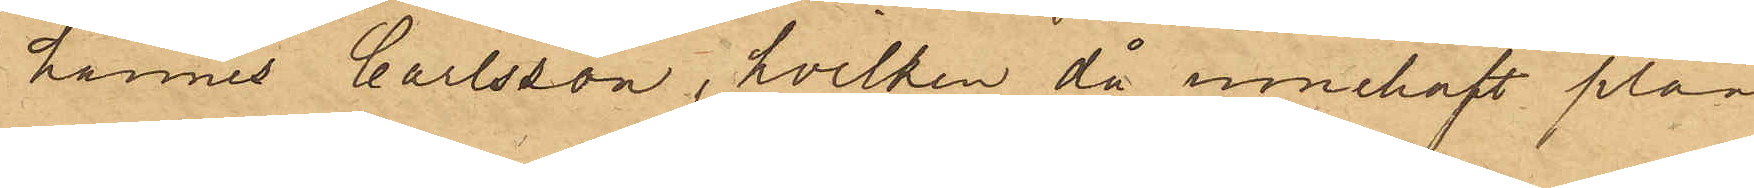hannes Carlsson, hvilken då innehaft plån¬
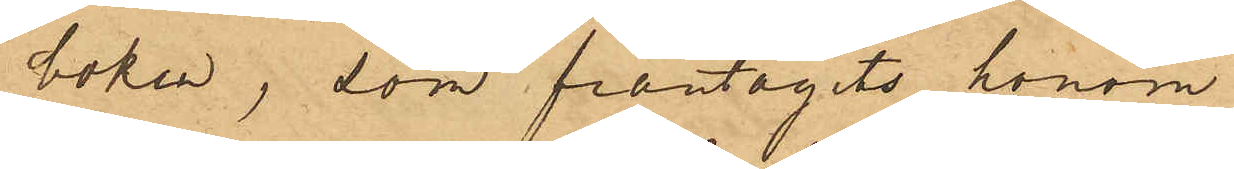boken, som fråntagits honom.
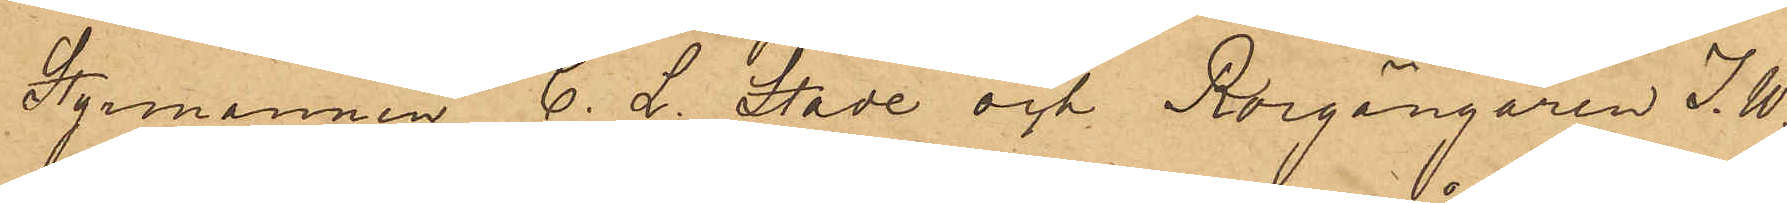Styrmannen C. L. Stade och Rorgängaren I. W.
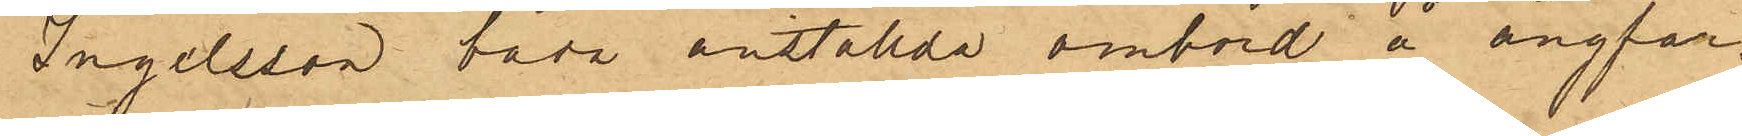Ingelsson båda anställda ombord å ångfar¬
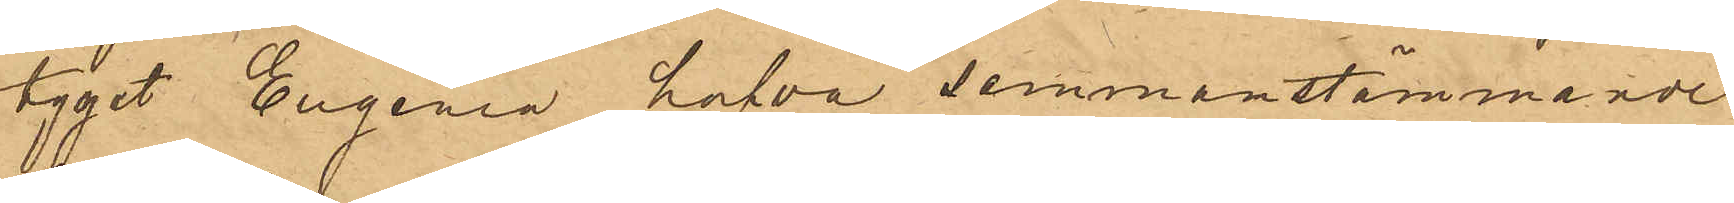tyget Eugenia hafva sammanstämmande
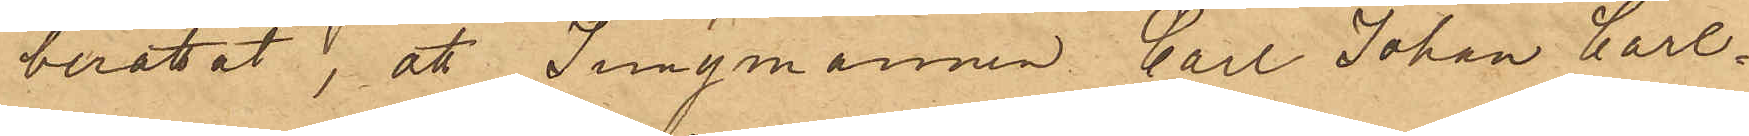berättat, att Jungmannen Carl Johan Carl¬
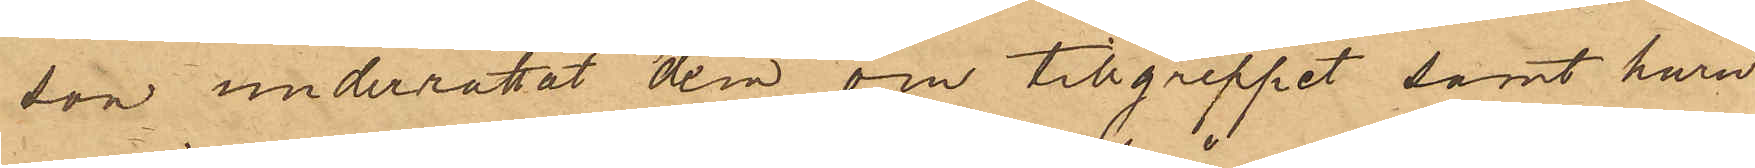son underrättat dem om tillgreppet samt huru
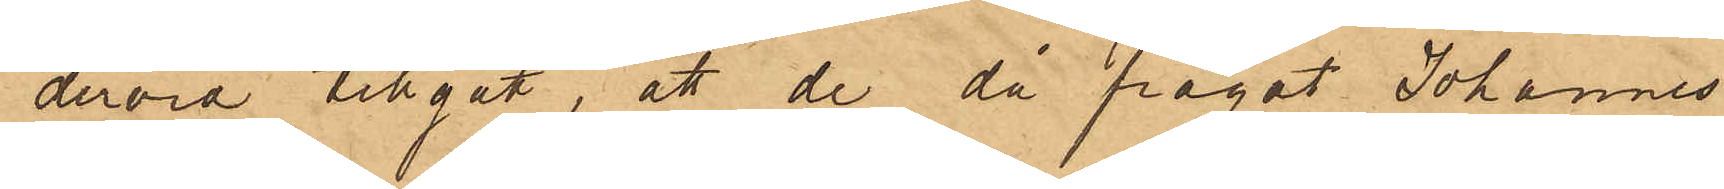dervid tillgått, att de då frågat Johannes
